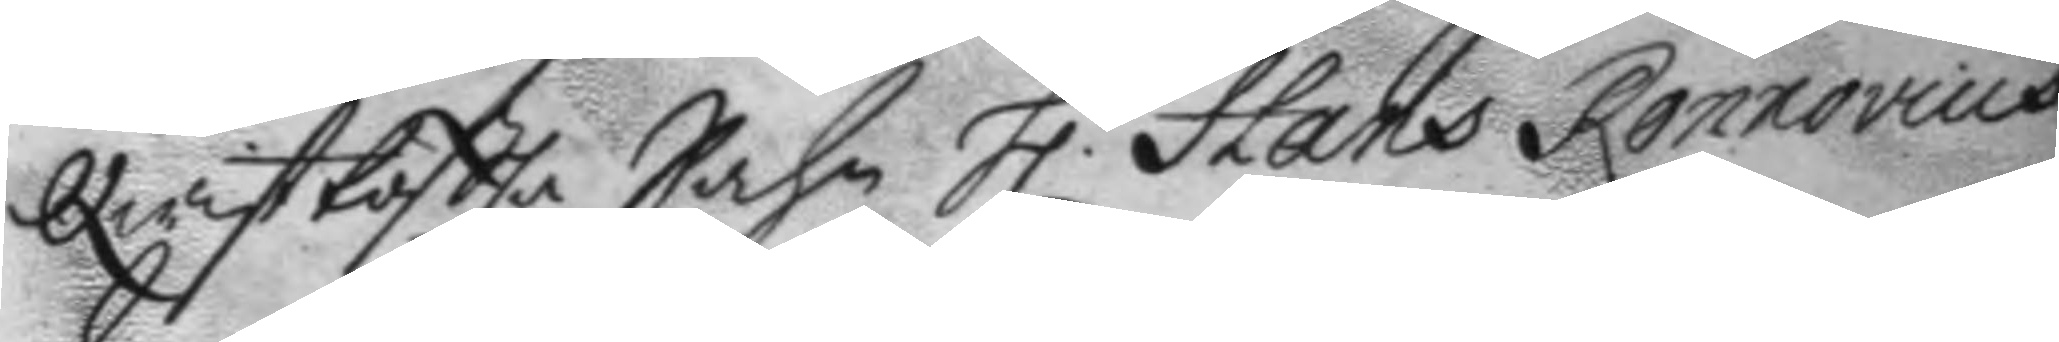Qwisttoßla Sochn h.r Hans Ronnovius
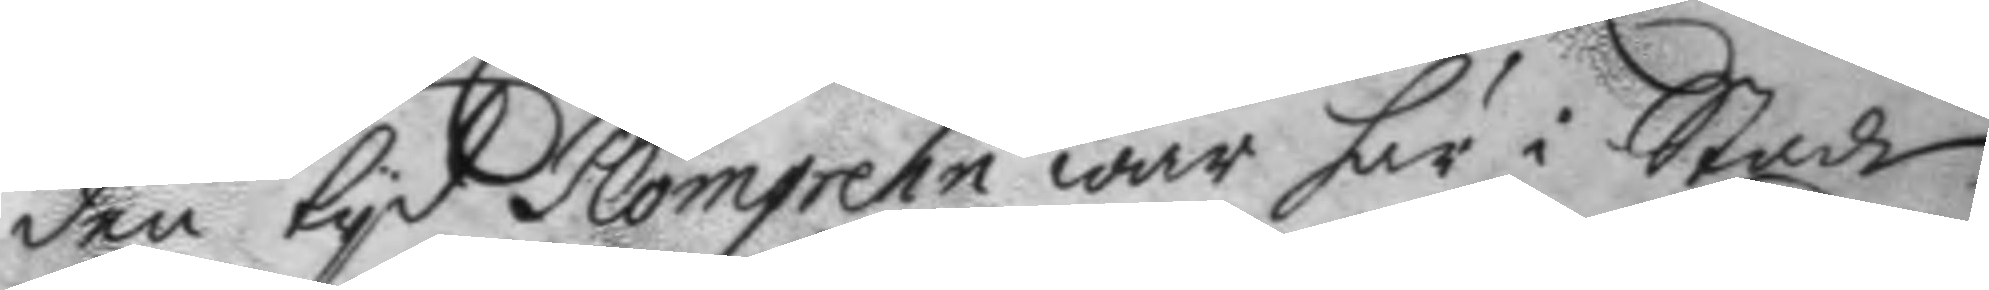den tyd Plomgren war här i Staden,
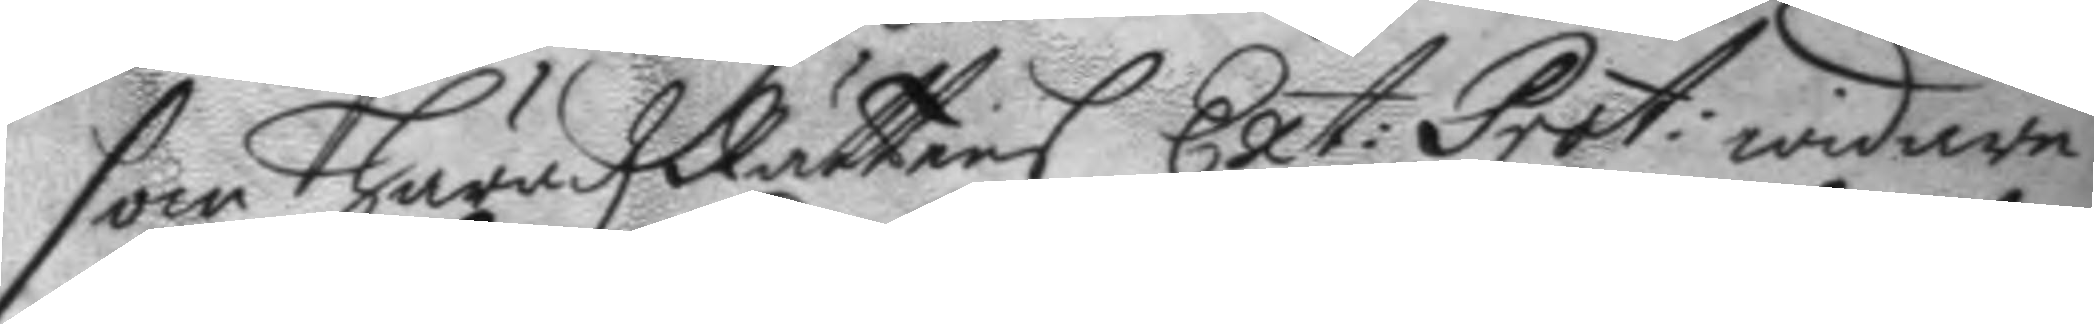som häradz Rättens Ext: prot: widare
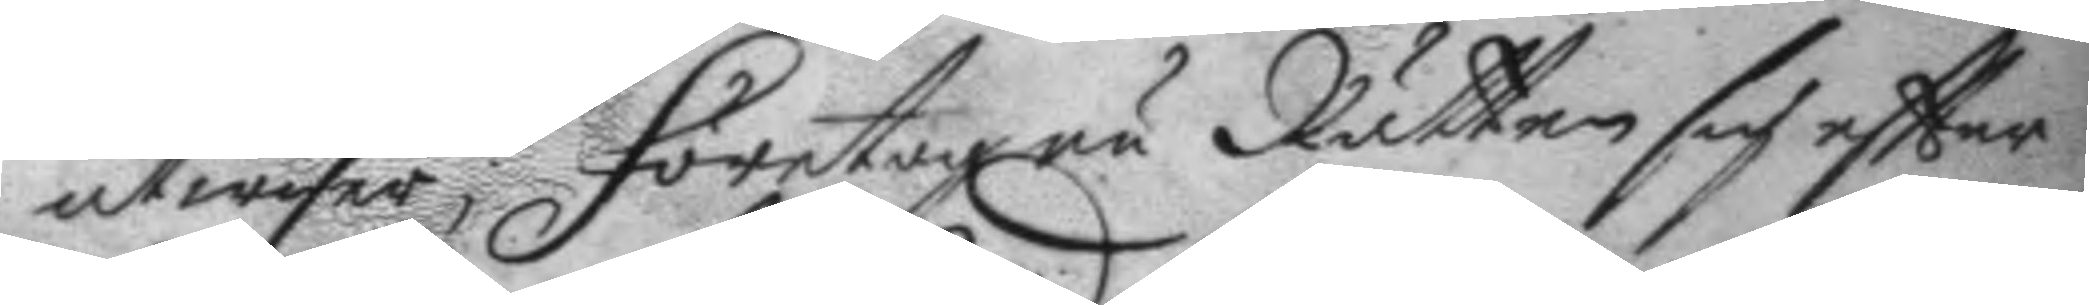utwisar; Företog nu Rätten sig eftter
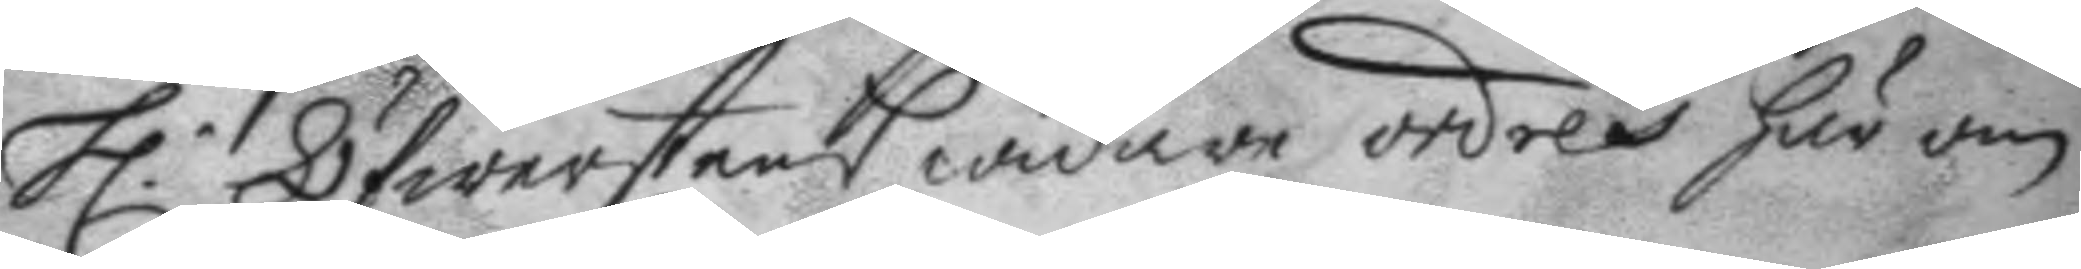h.r Öfwerstens widare ordres här om
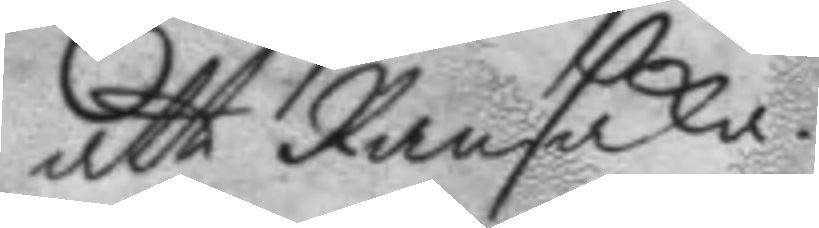att Ransaka.
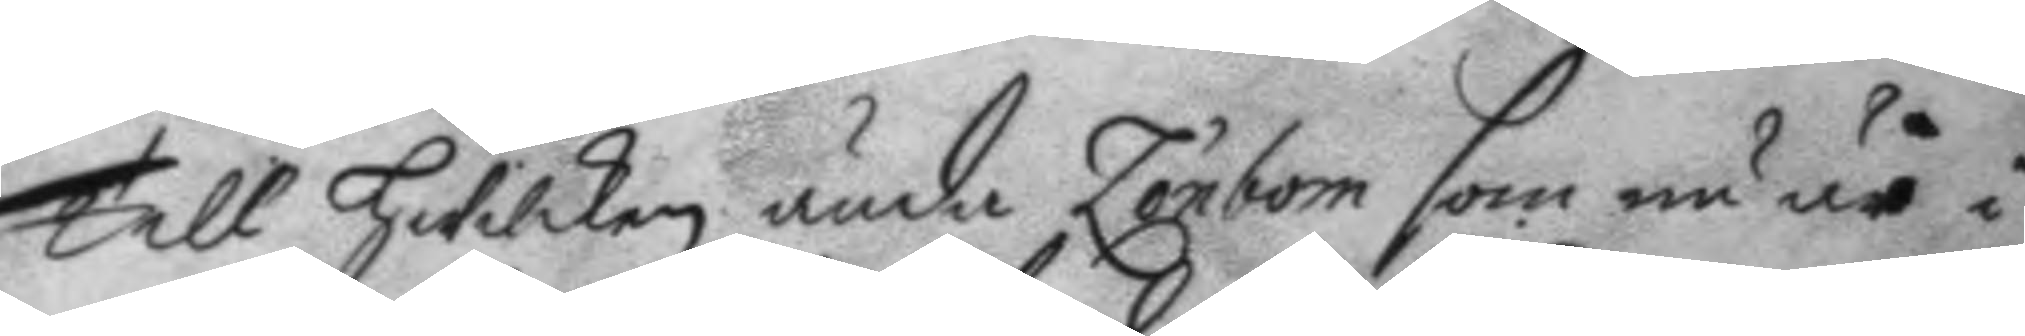Till hwilken ända Lönbom som nu är i
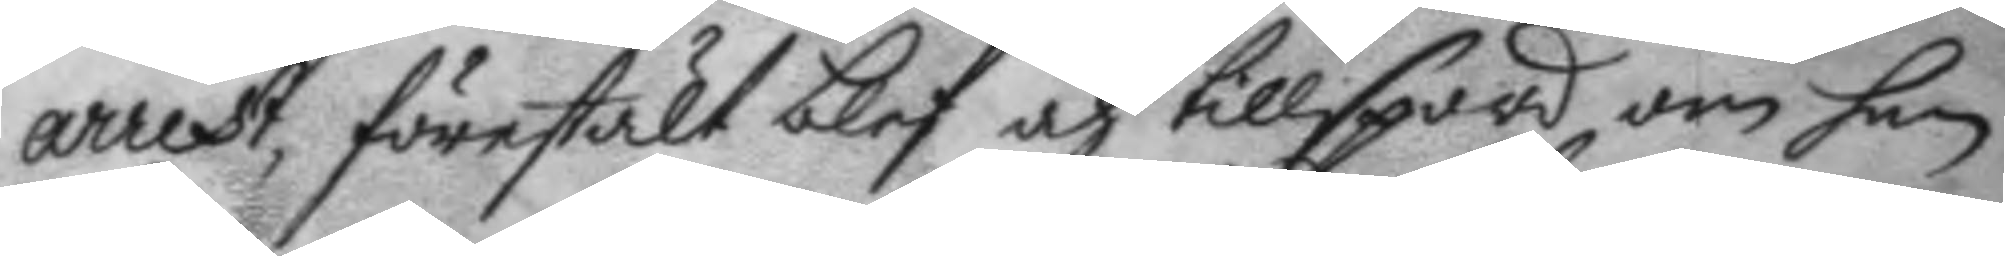arrest, förestält blef och tillspord om han
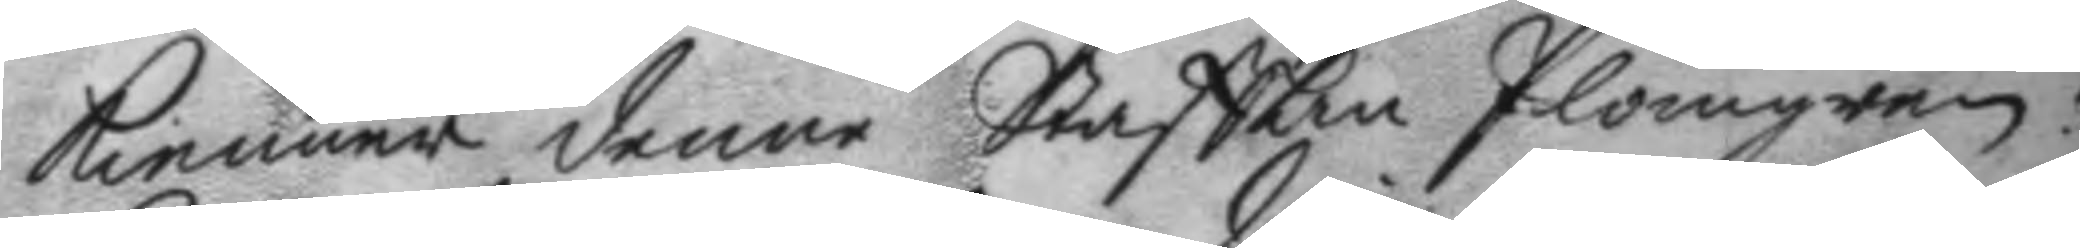kienner denne Staffan Plomgren?
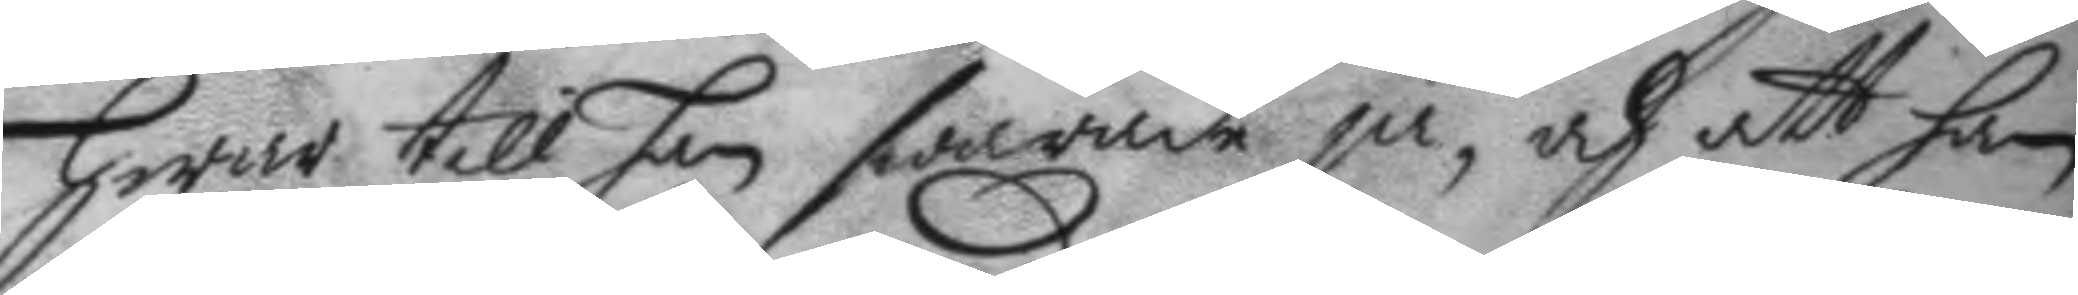hwar till han swarade ja, och att han
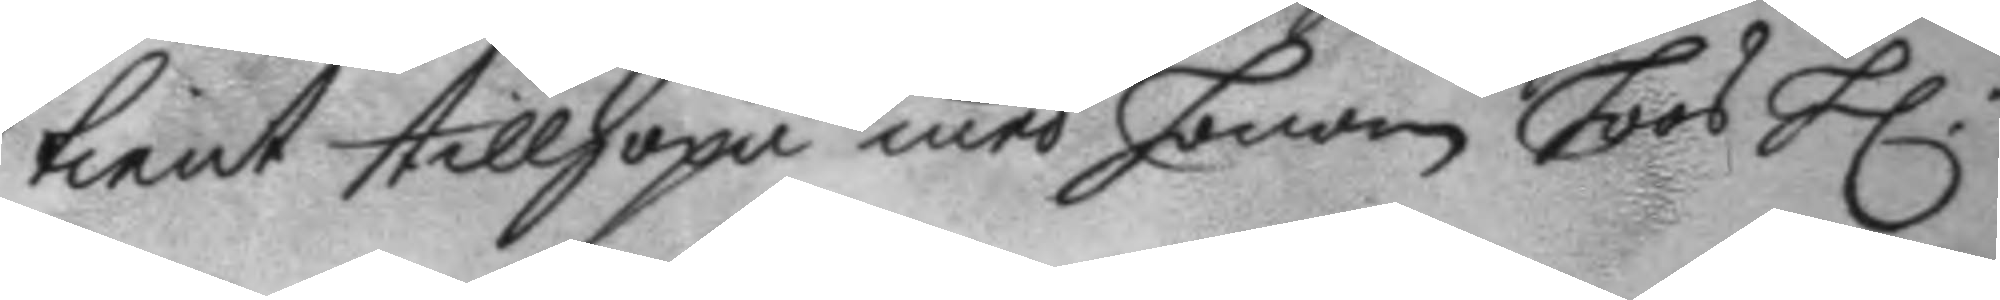tient tillhopa med honom hoos h.r
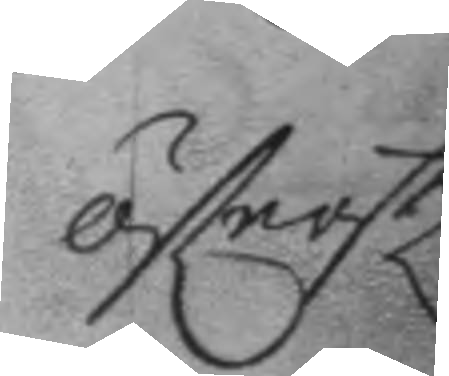öfwerste
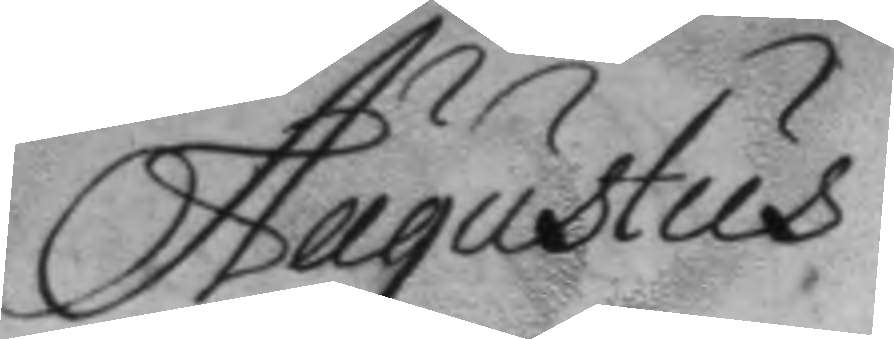Augustus
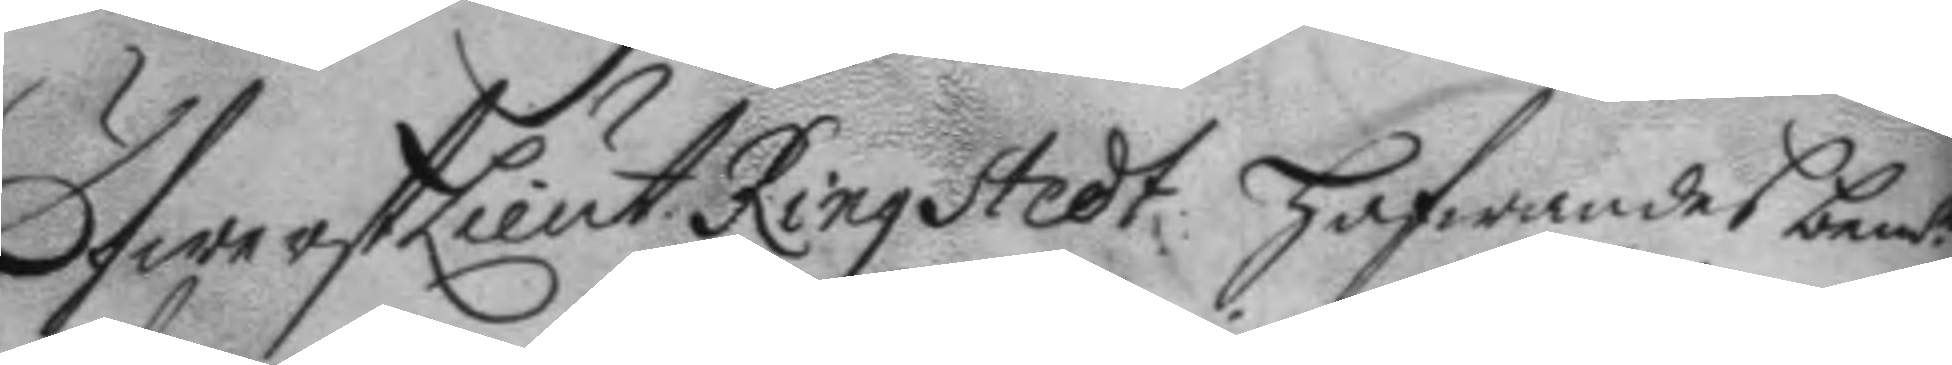ÖfwerstLieut. Ringstedt, hafwandes bemd.e
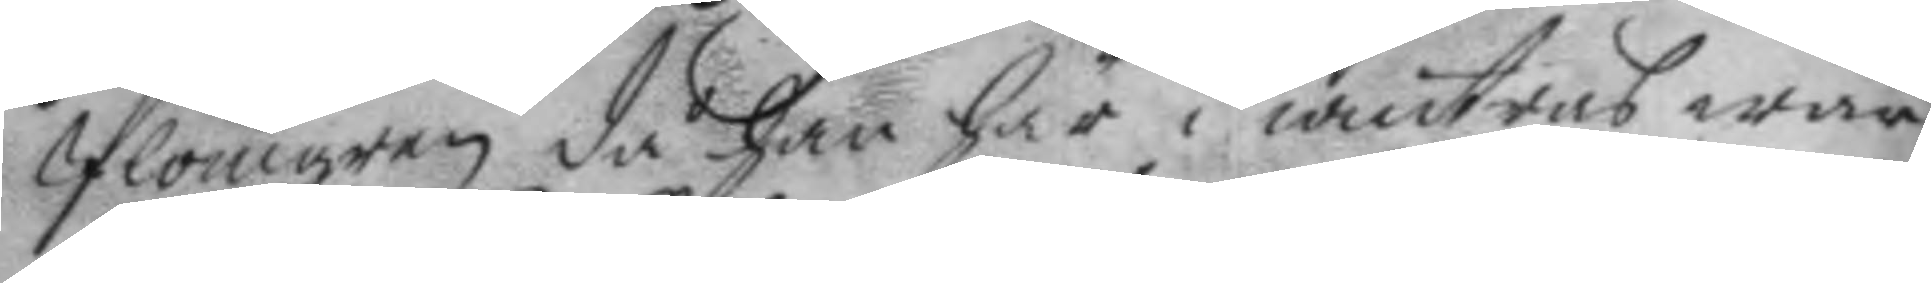plomgren då han här i wintras war
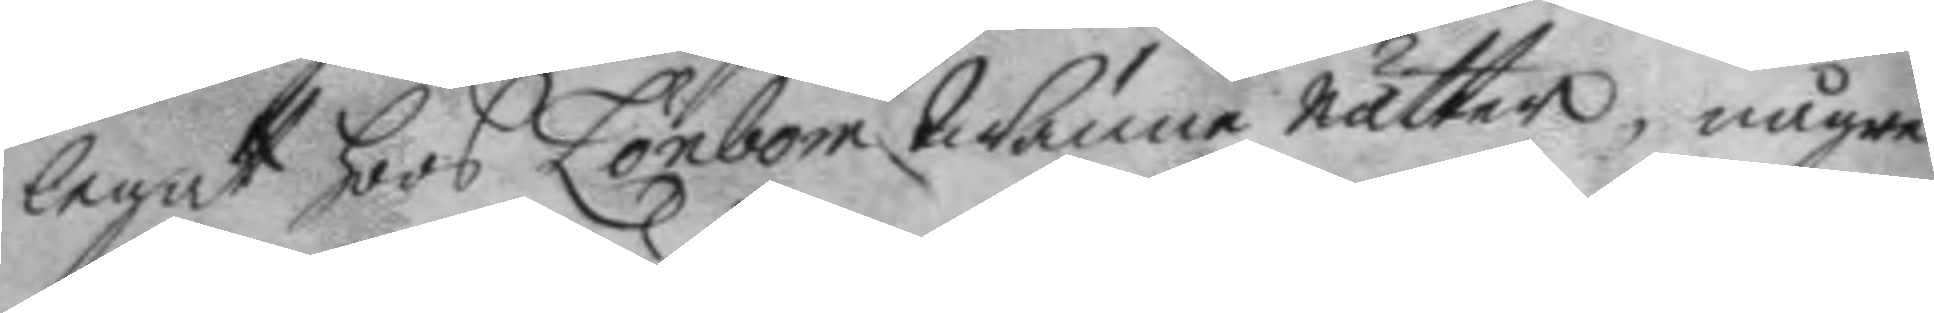legat hoos Lönbom twänne nätter, någre
